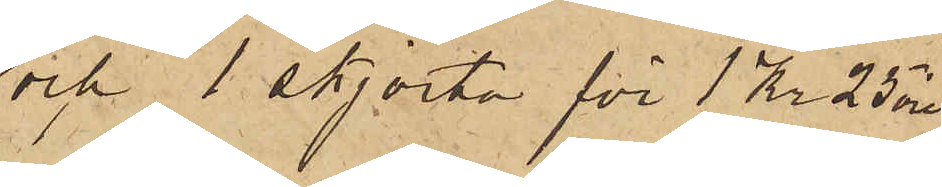och 1 skjorta för 1 Kr 25 öre.
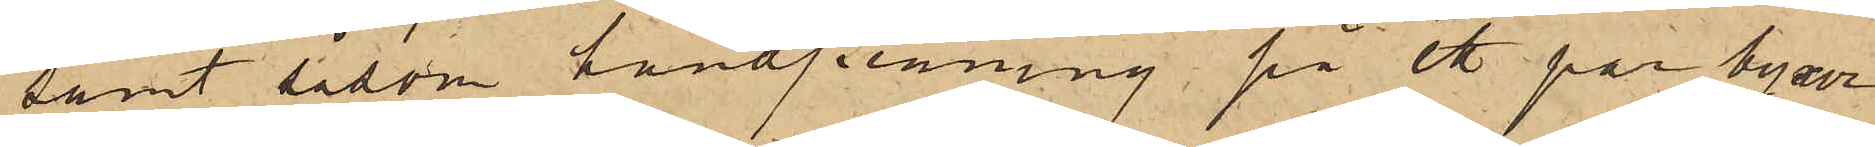samt såsom handpenning på ett par byxor
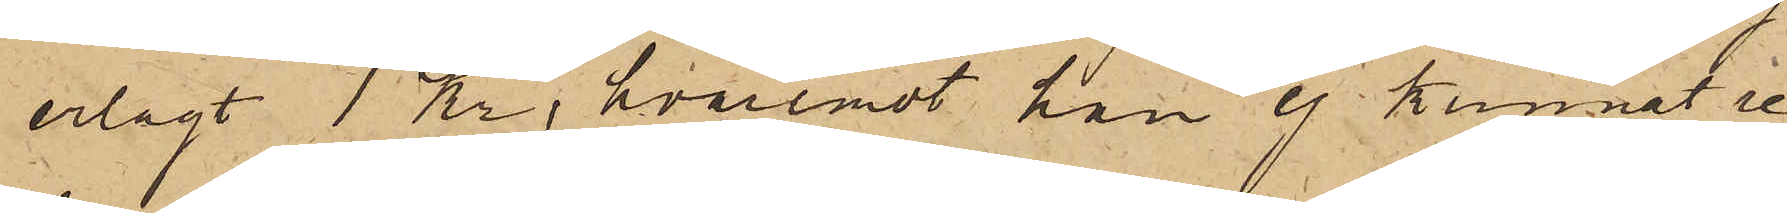erlagt 1 Kr, hvaremot han ej kunnat re¬
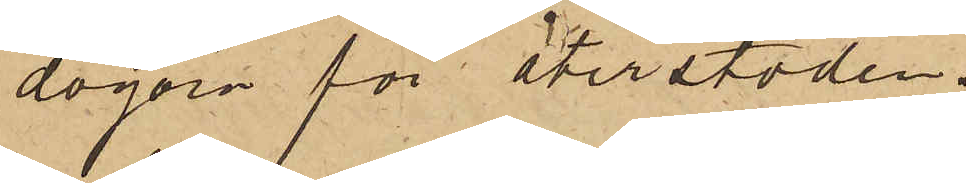dogöra för återstoden.
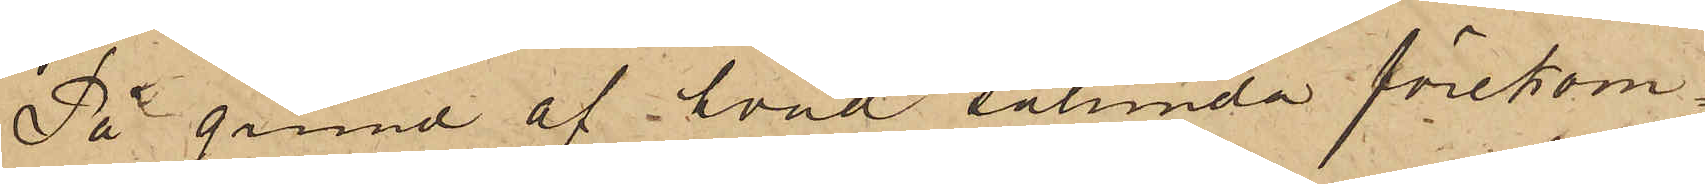På grund af hvad sålunda förekom¬
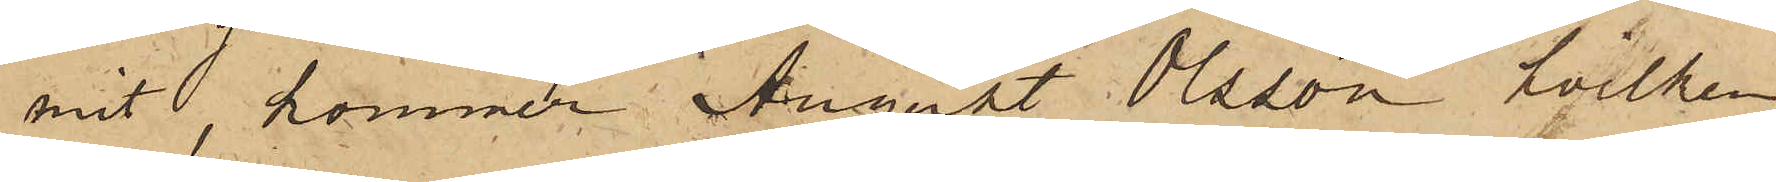mit, kommer August Olsson, hvilken
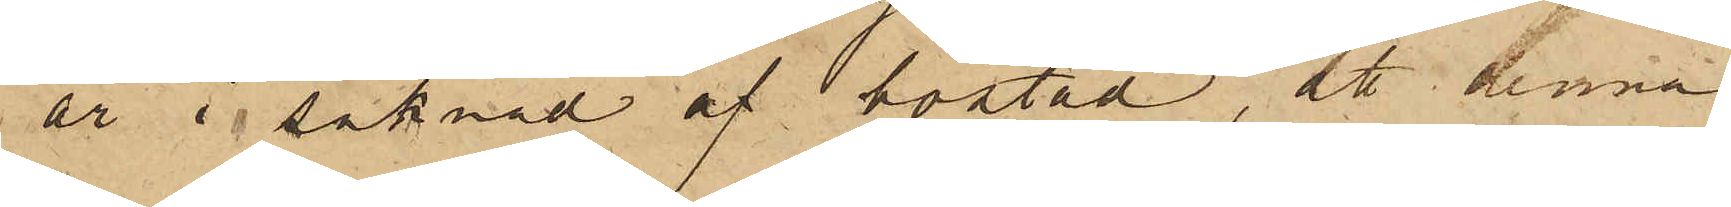är i saknad af bostad, att denna
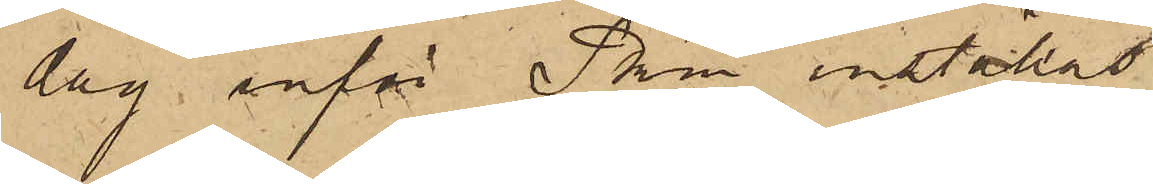dag inför Pkn inställas.
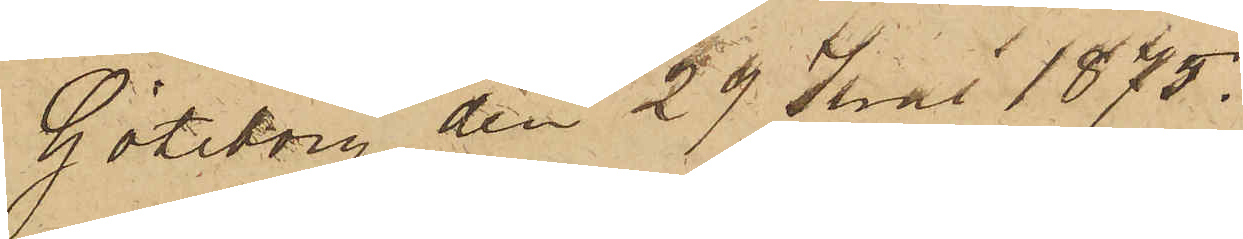Göteborg den 29 Juni 1875.
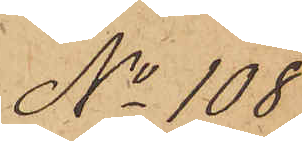No 108.
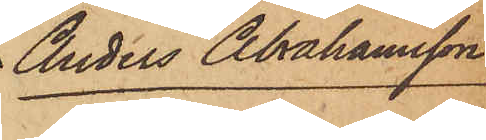Anders Abrahamsson
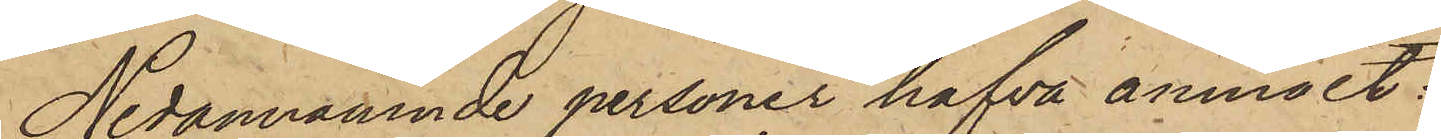Nedannämnde personer hafva anmält:
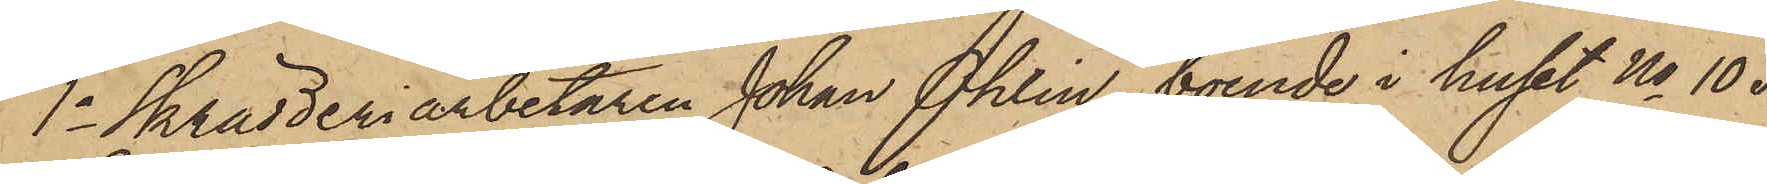1o Skrädderiarbetaren Johan Ohlin, boende i huset No 105
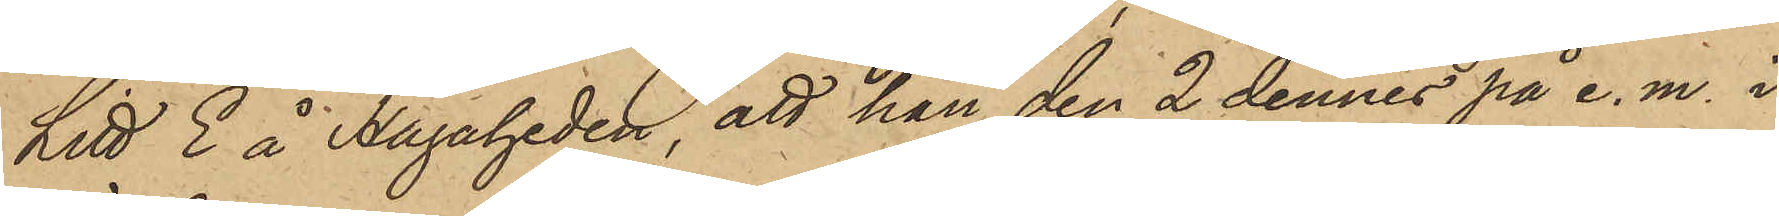Litt E å Hagaheden, att han den 2 dennes på e. m. i
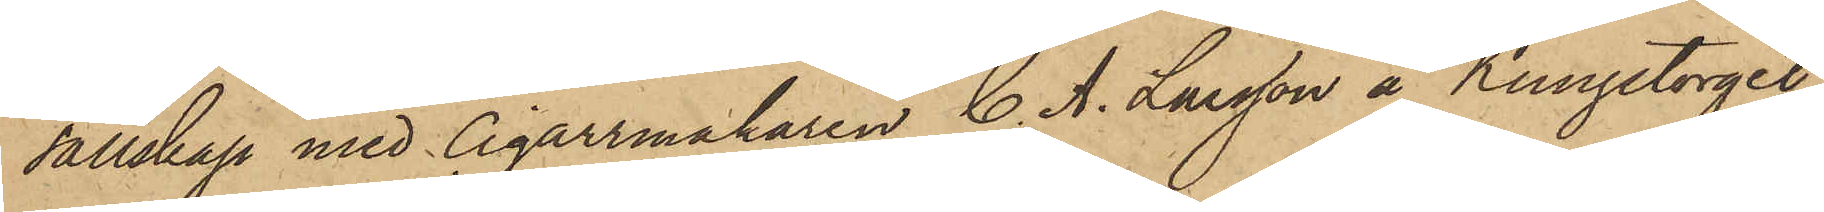sällskap med cigarrmakaren C. A. Larsson å Kungstorget
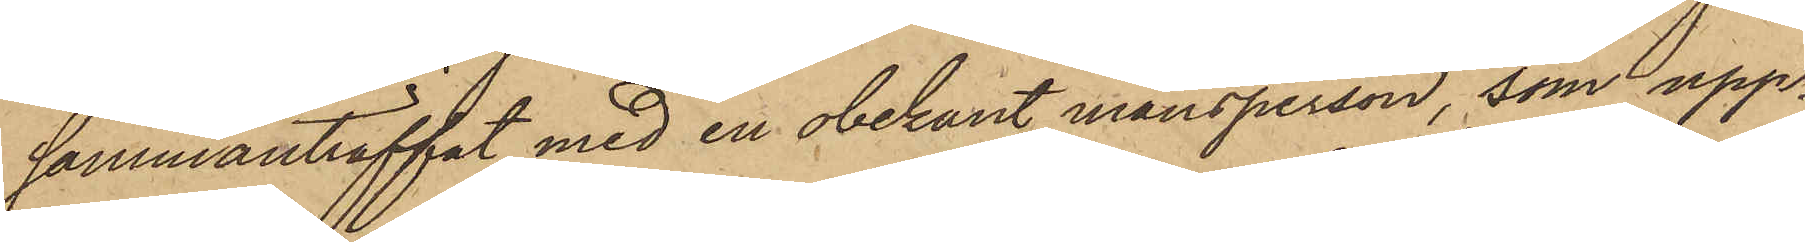sammanträffat med en obekant mansperson, som upp¬
